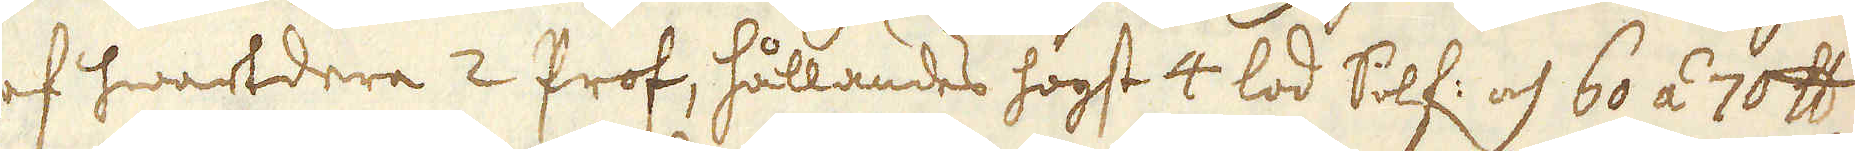af hwartdera 2 Prof, hållandes högst 4 lod Silf: och 60 á 70 skålpund
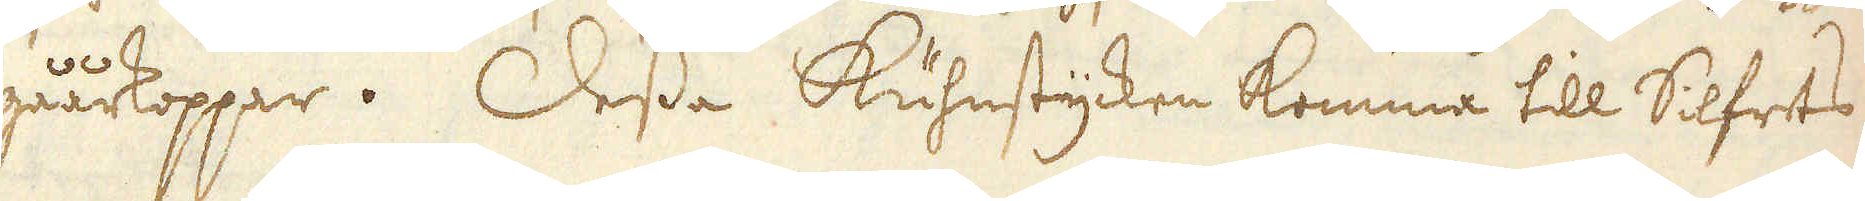gåårkoppar. Dessa Kuhnstycken komma till Silfrets
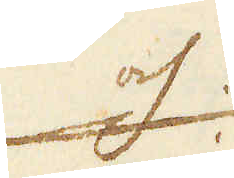och
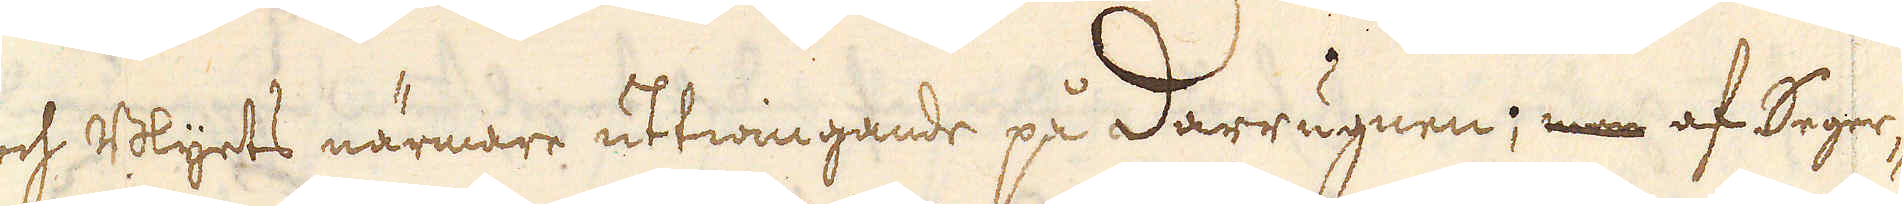och Blydts närmare uttwingande på darrugnen; men af Seger-
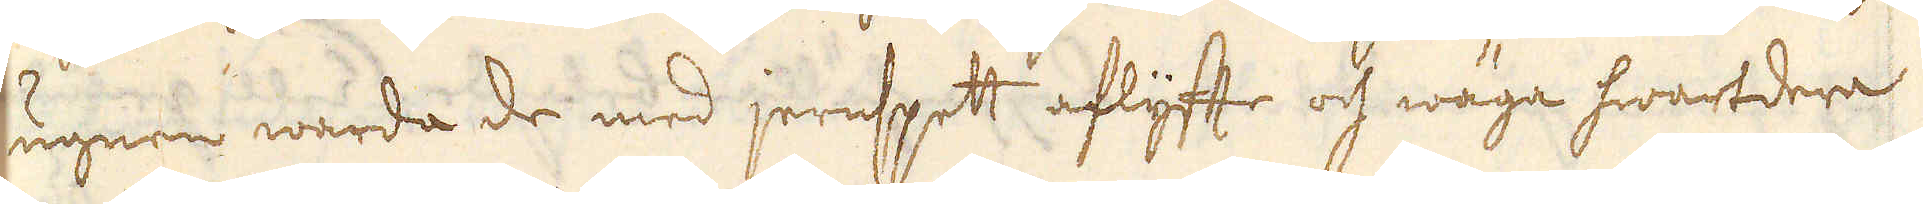ugnen warda de med jernspett aflyfte och wäga hwartdera
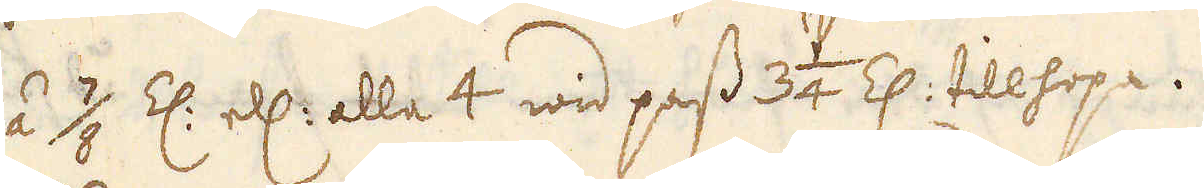3/4 á 7/8 Z: el: alla 4 wid pass 3 1/4 Z: tillhopa.
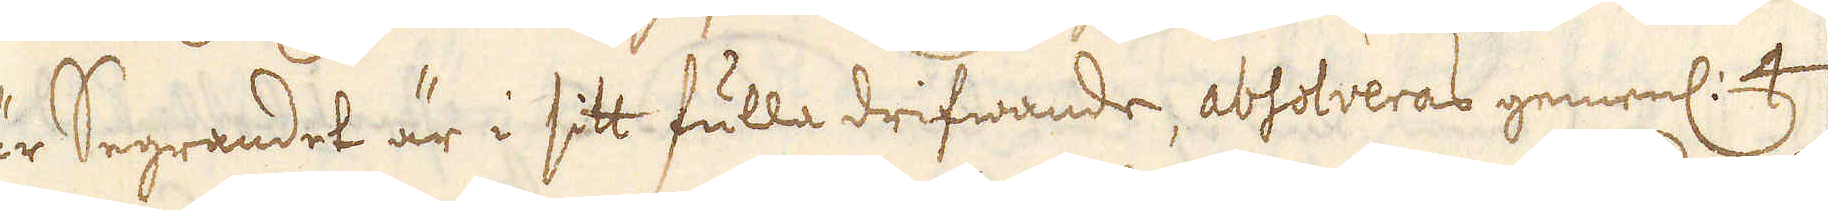När Segrandet är i sitt fulla drifwande, absolveras gemenl: 4
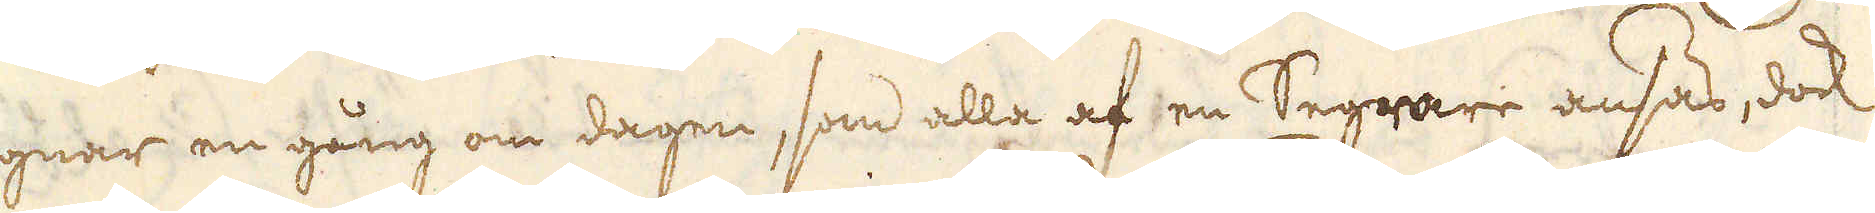ugnar en gång om dagen, som alla af en Segrare ansas, dock
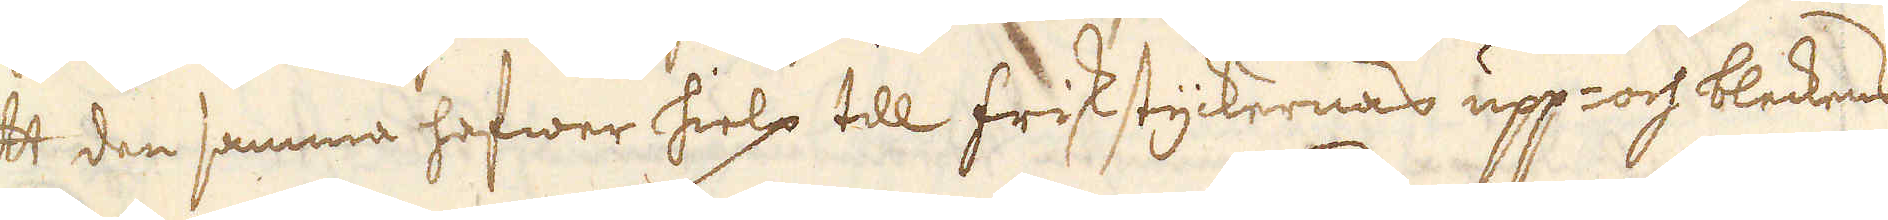att den samma hafwer hielp till friskstyckernas upp- och bleckens
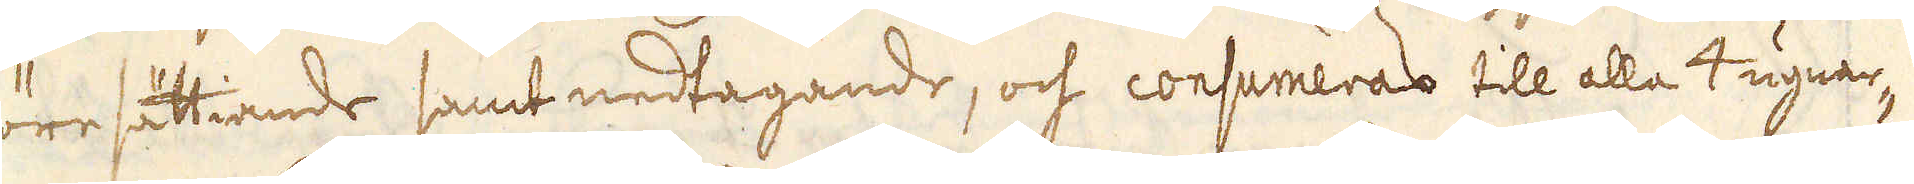före sättiande samt nedtagande, och consumeras till alla 4 ugnar-
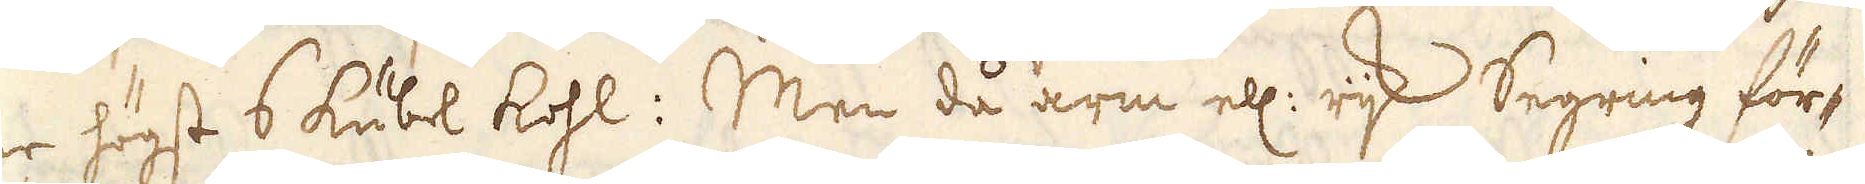ne högst 6 kubel kohl: Men då arm ell: rijk Segring för-
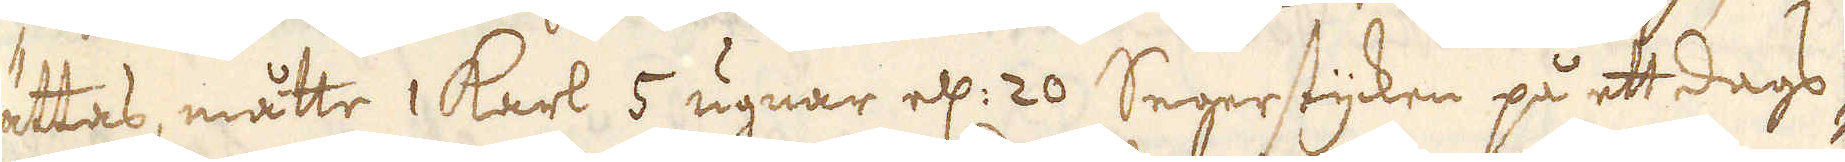rättas, måtte 1 karl 5 ugnar ell: 20 Segerstycken på ett dags-
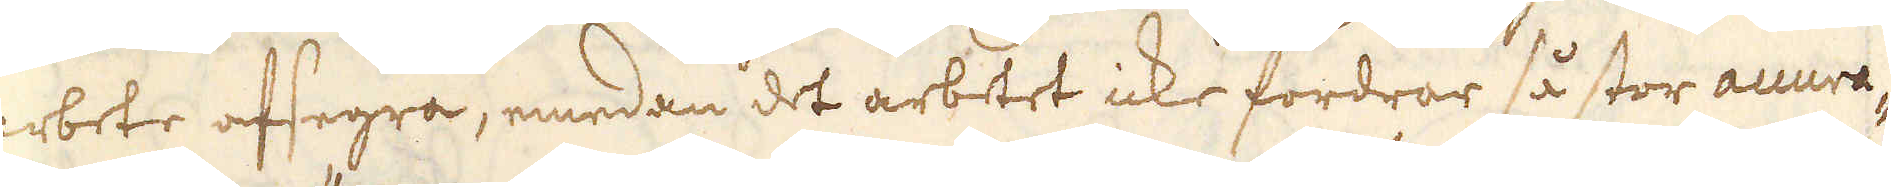arbete afsegra, emedan det arbetet icke fordrar så stor accura-
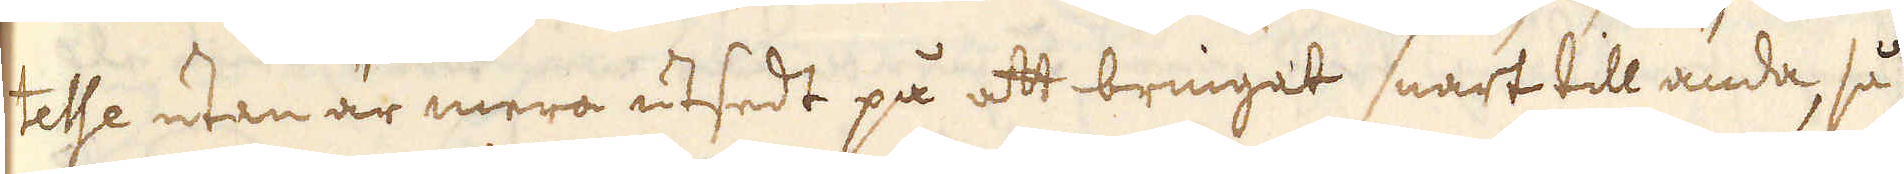tesse utan är mera utsedt på att bringat snart till ända, så
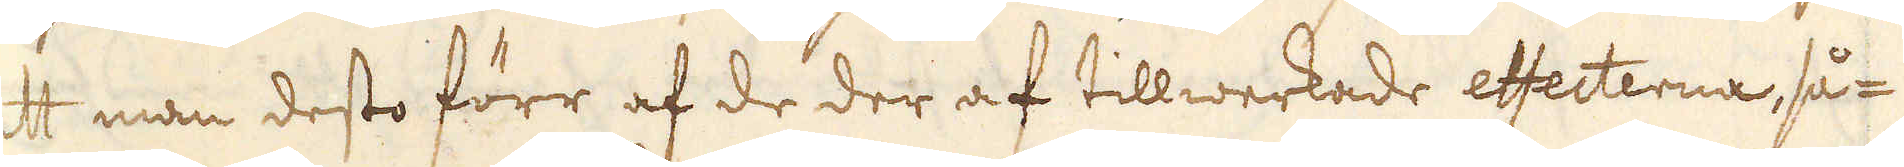att man desto förr af de der af tillwerkade effecterna, så-
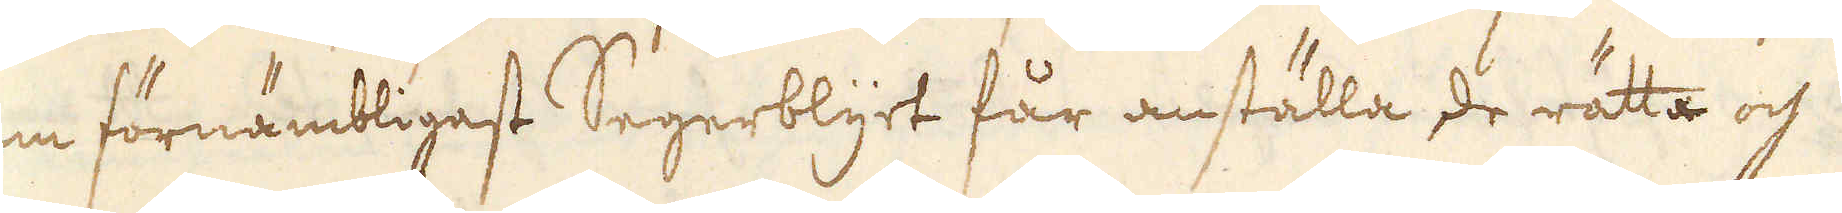som förnämbligast Segerblyet får anställa de rätta och
